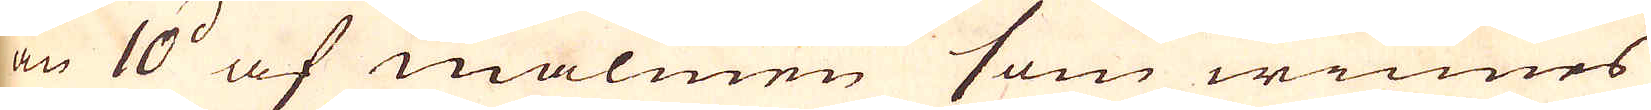än 10d af malmen som winnes
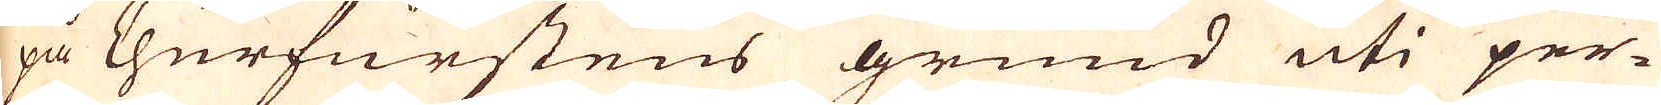pa Churfurstens grund uti per-
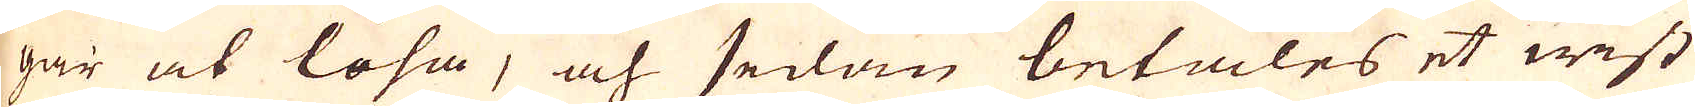gar at löhn, och sedan betales et wist
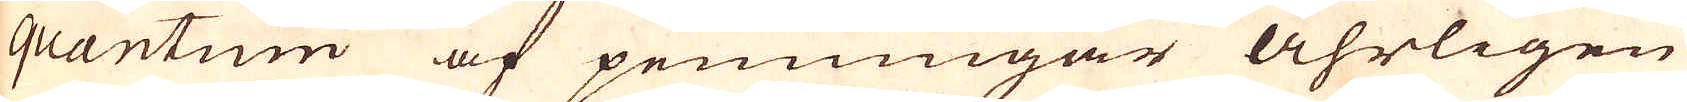quantum af penningar åhrligen
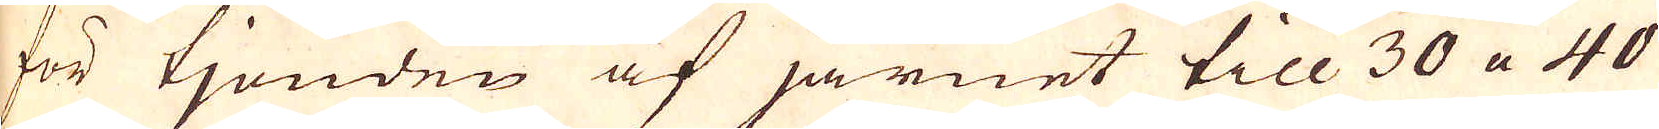för tjonden af järnet till 30 a 40
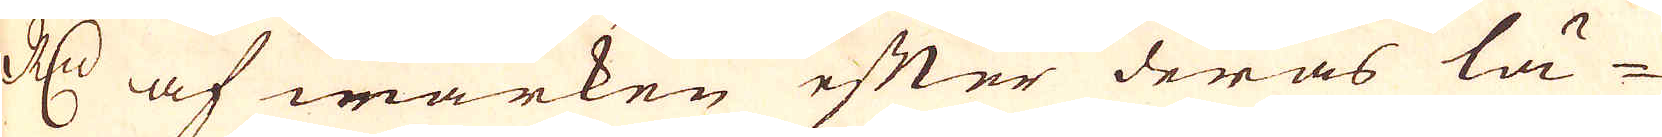R:dr af wärken efter deras lä-
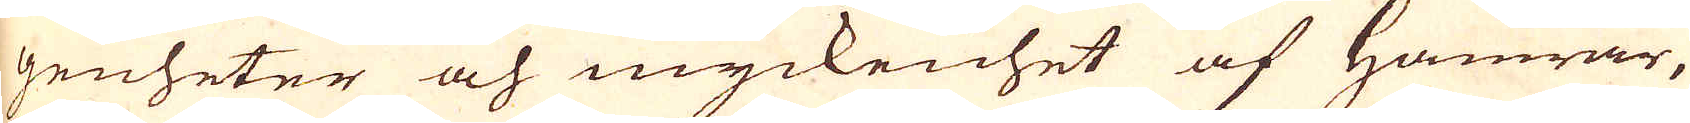genheter och myckenhet af Hamrar,
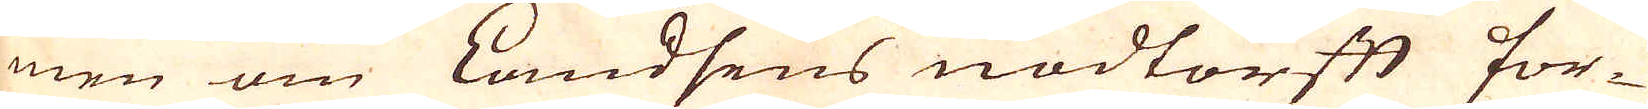men om Landsens nödtorft for-
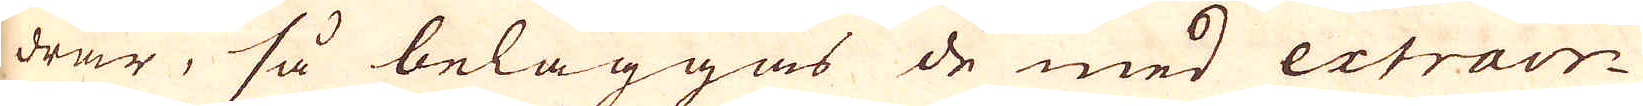drar, så beläggas de med extraor-
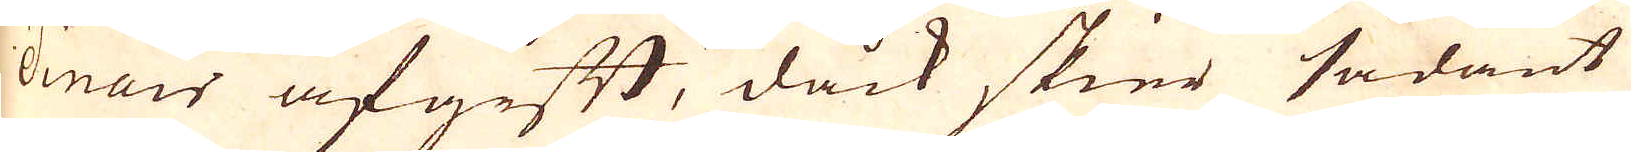dinair afgift, dock skier sådant
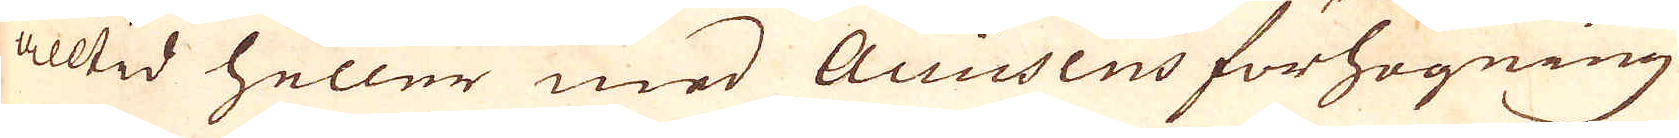alltid heller med Accisens förhögning
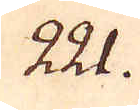221.
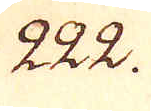222.
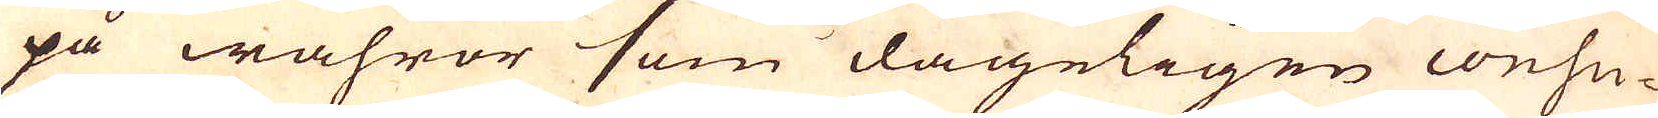på wahror som dageligen consu-
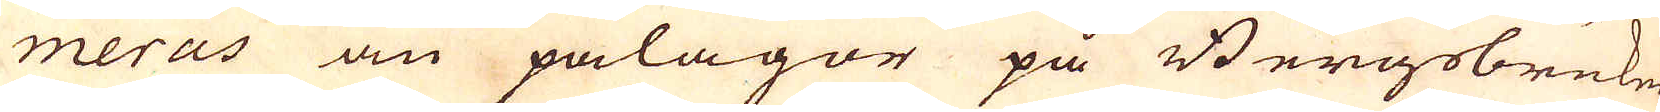meras än pålagor på Bergsbruken.
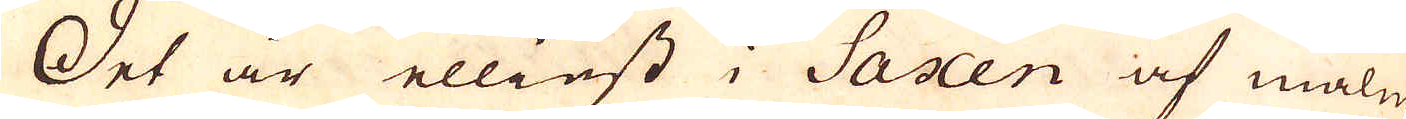Det är elliest i Saxen af malm
